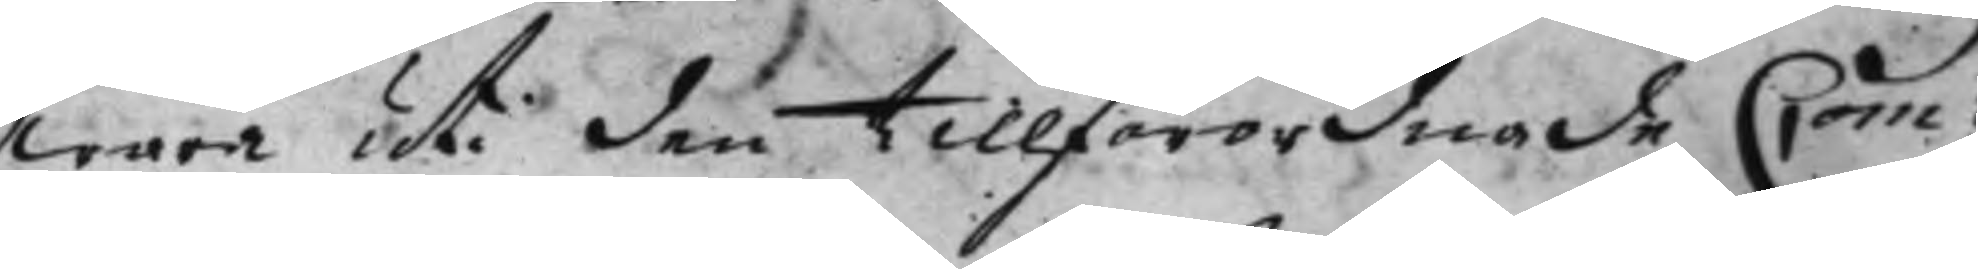wara uti den tillförordnade Com¬
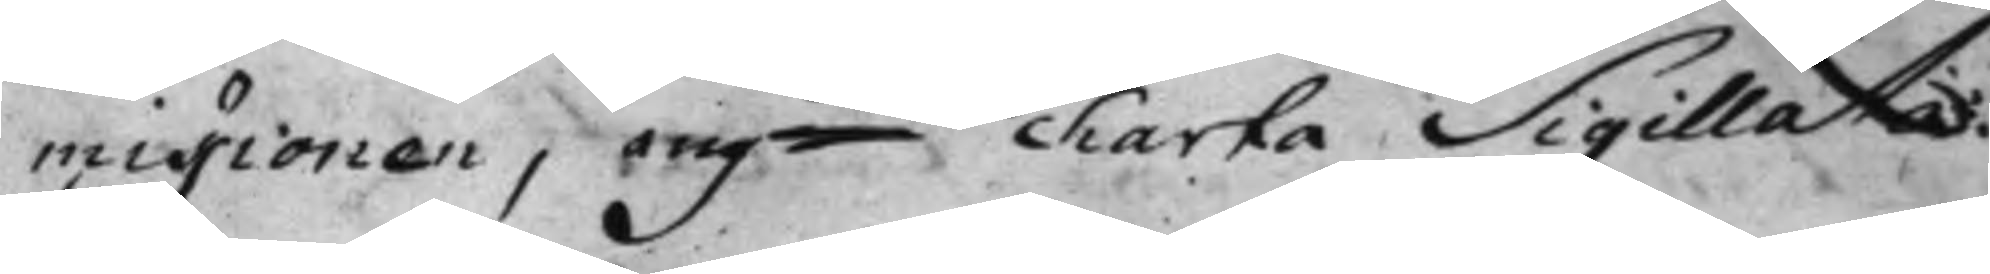misionen, angde Charta Sigillatas. 
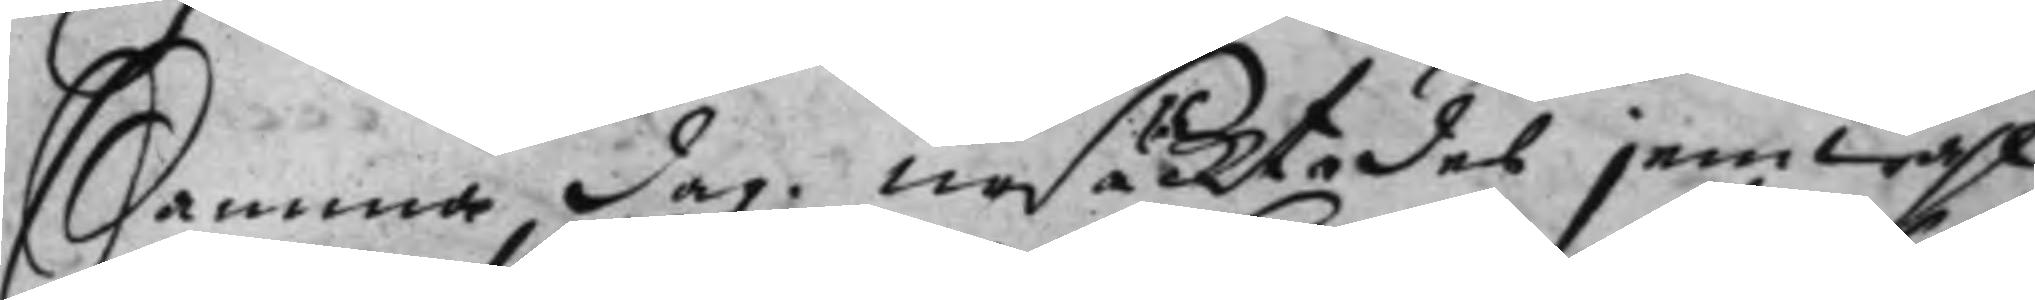Samma dag ursäcktades jemwähl
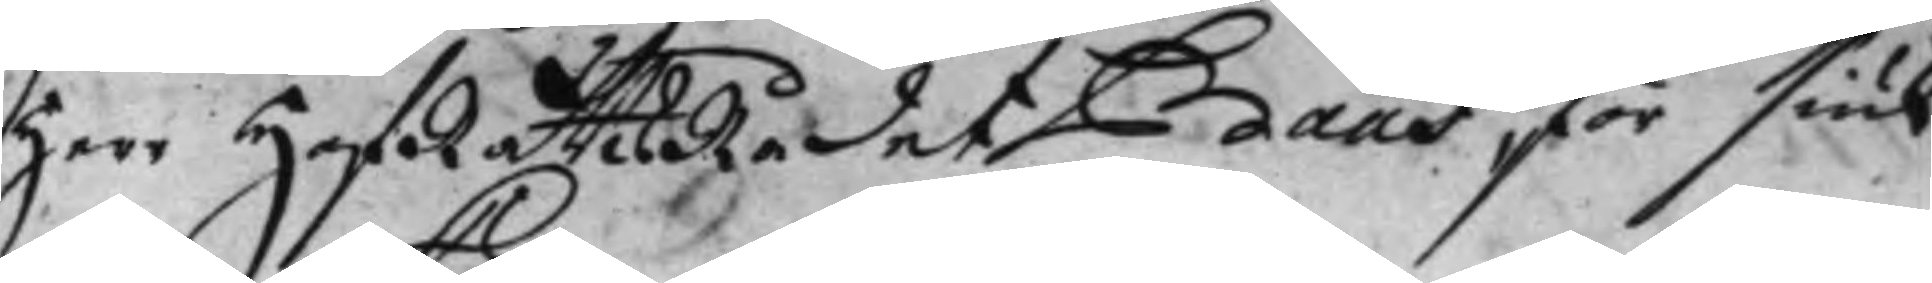Herr HofRättsRådet Baas för siuk¬
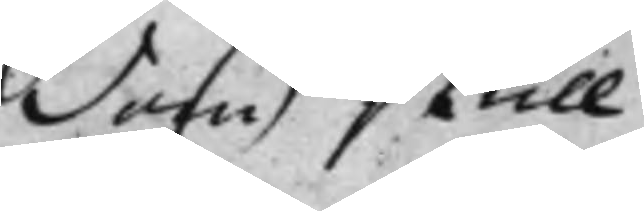dom skull.
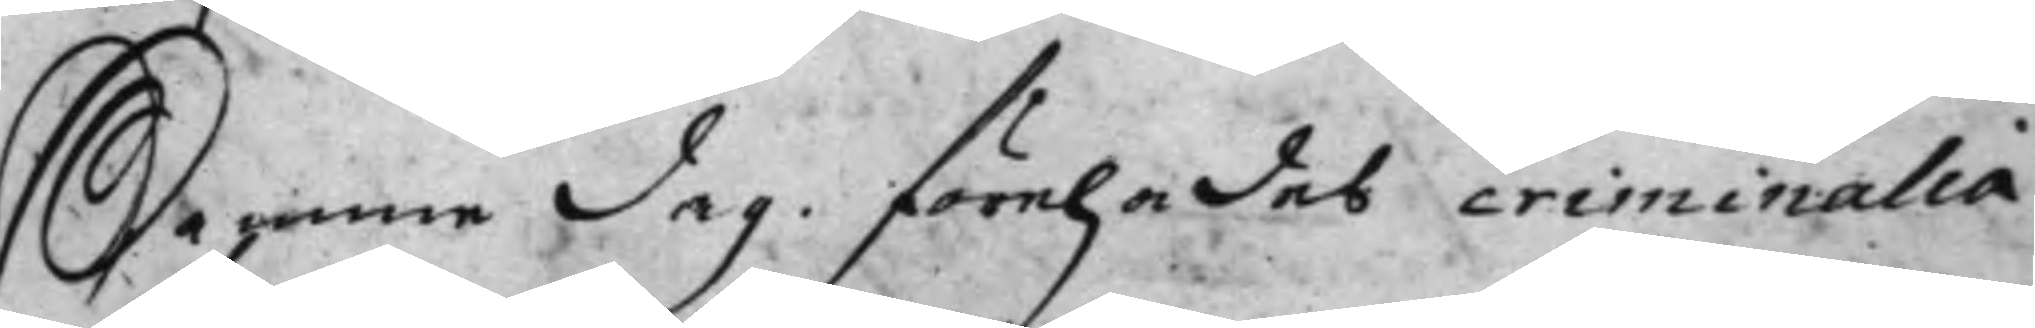Samme dag. förehades criminalia
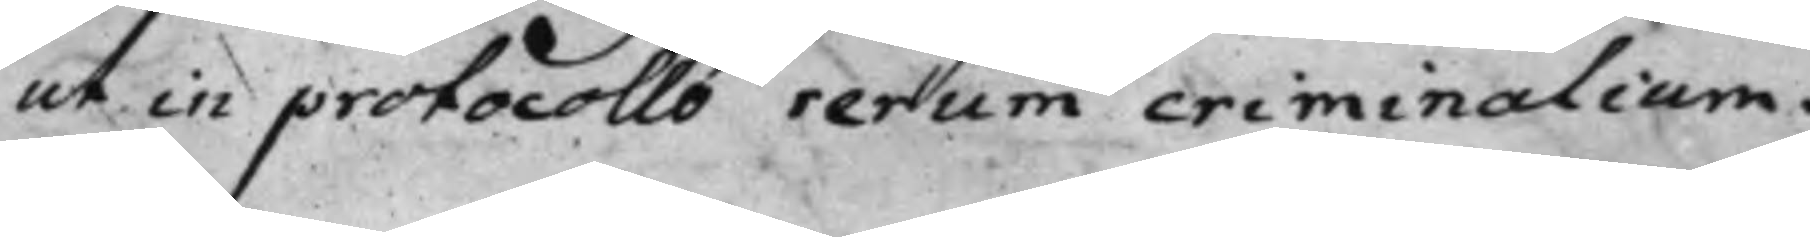ut in protocollo rerum criminalium.
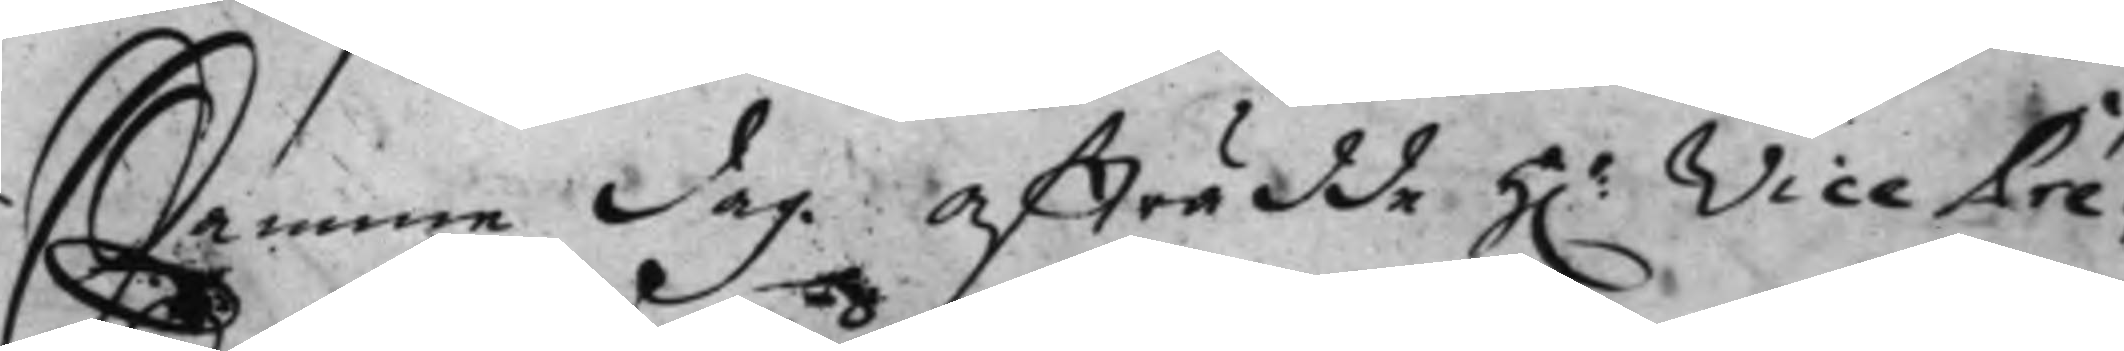Samme dag. afträdde h.r Vice Pré¬
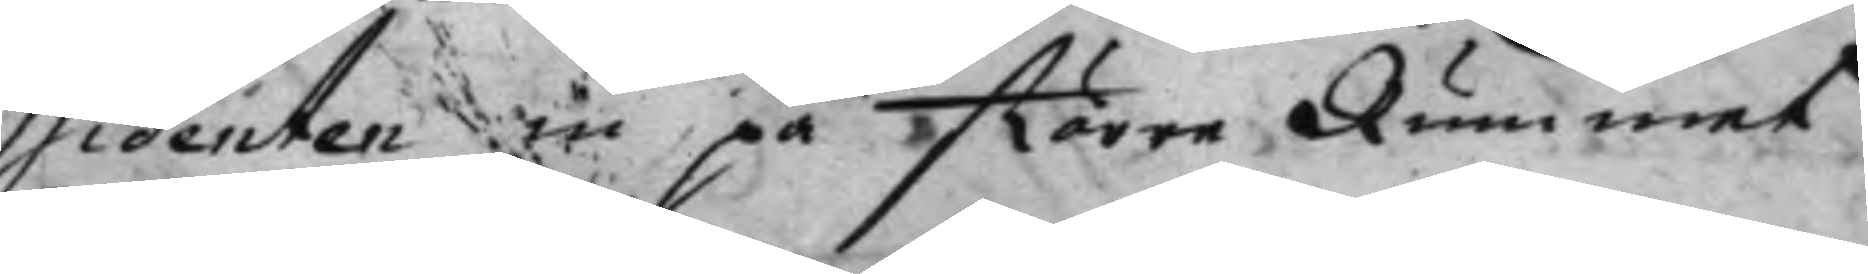sidenten in på Större Rummet.
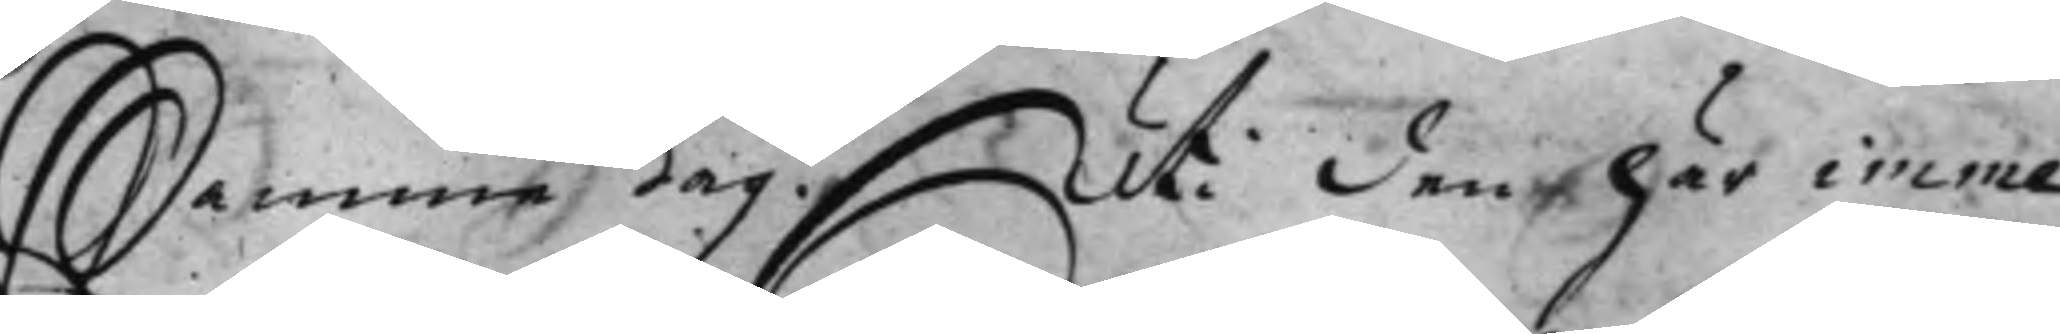Samme dag. Uti den här imme¬
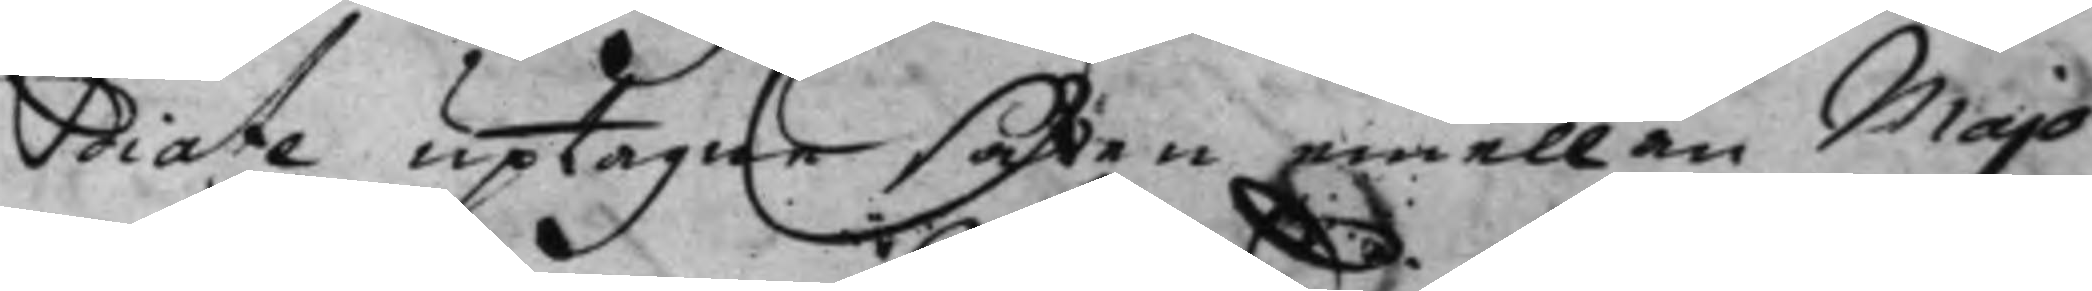diate uptaga saken emellan Majo¬
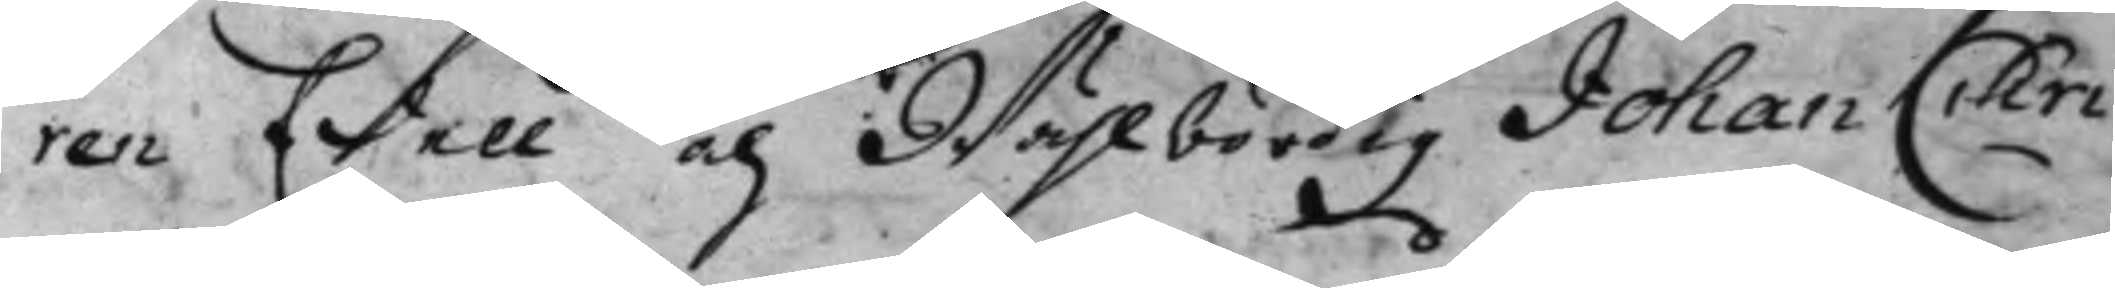ren Edell och Wählbördig Johan Chri¬
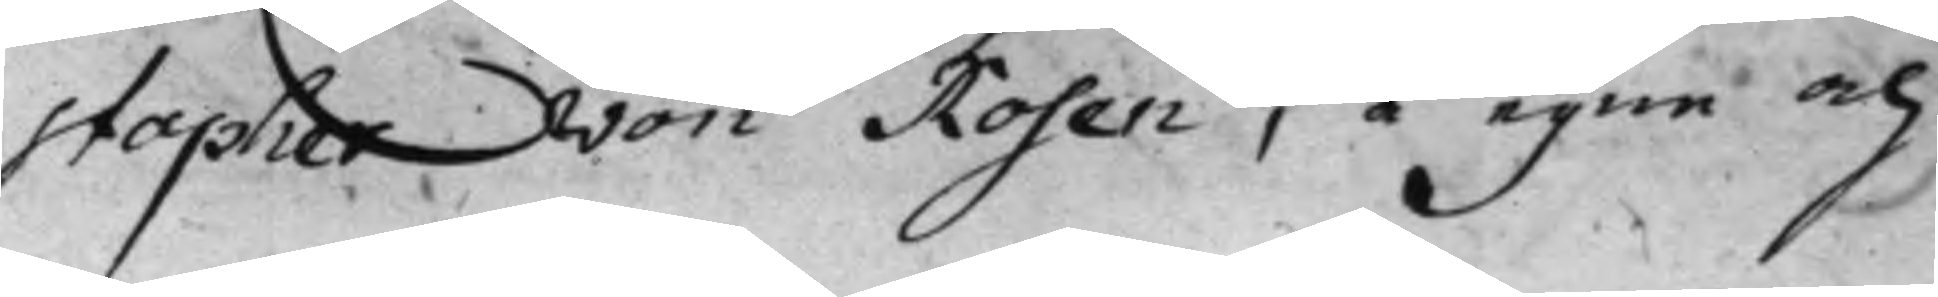stopher von Rosen, å egne och
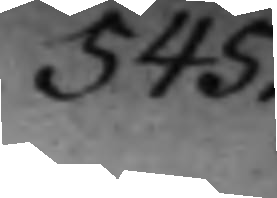545.
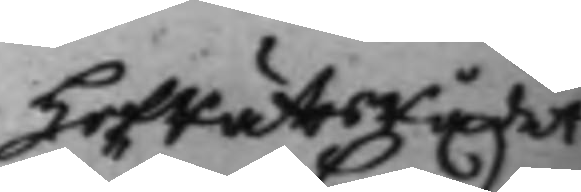HofRättsrådet
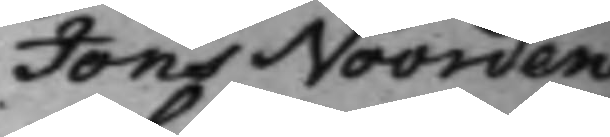Jöns Noorden¬
